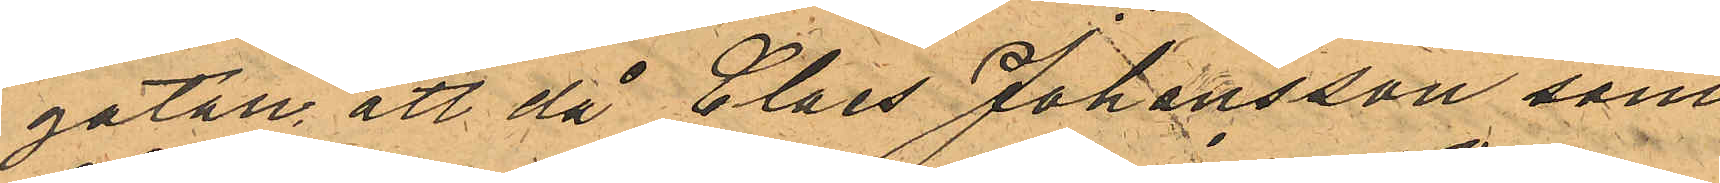gatan, att då Claes Johansson som
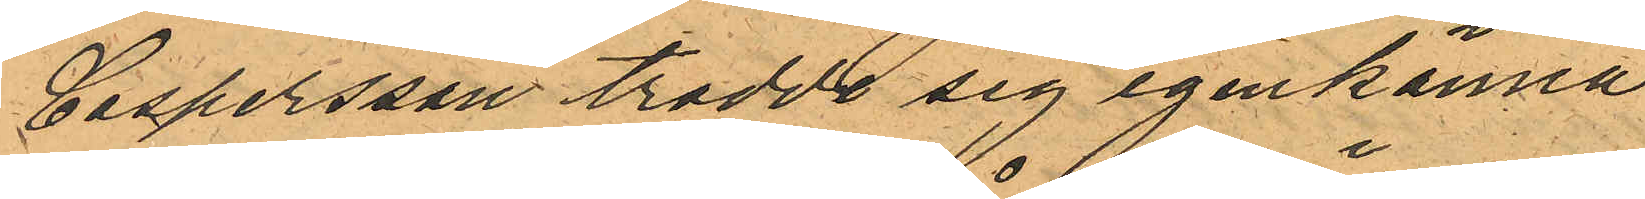Caspersson trodde sig igenkänna
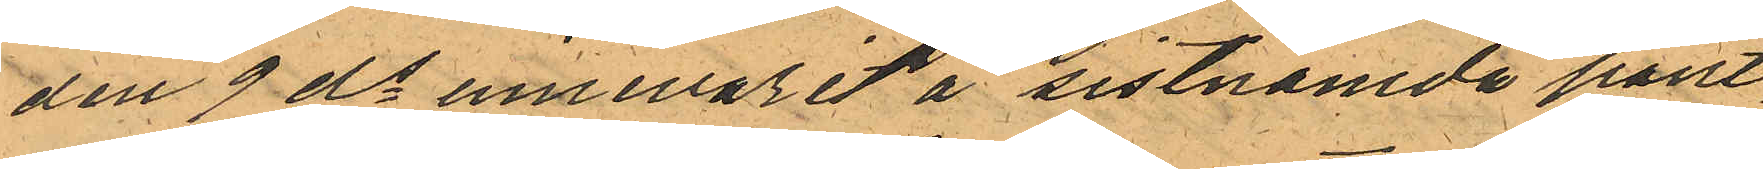den 9 ds innevarit å sistnämde pant¬
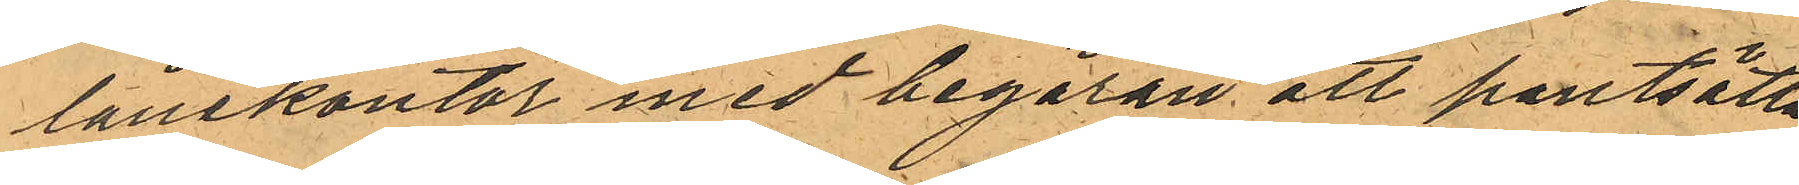lånekontor med begäran att pantsätta
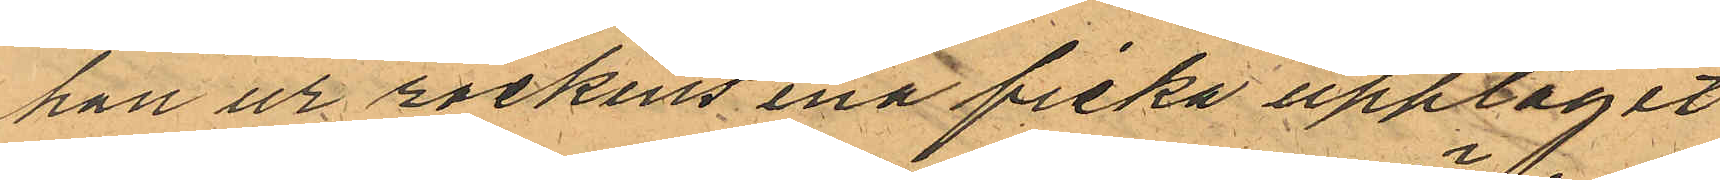han ur rockens ena ficka upptagit
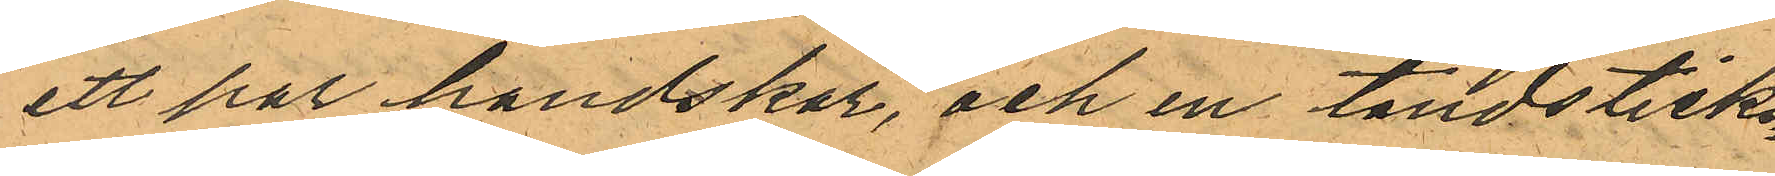ett par handskar, och en tändsticks¬
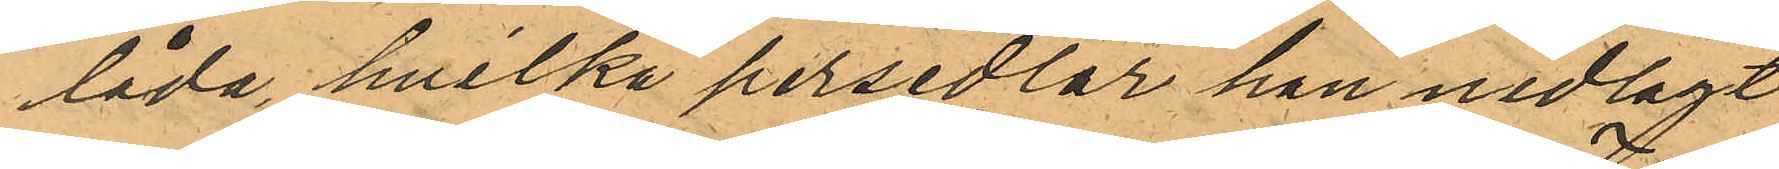låda, hvilka persedlar han nedlagt
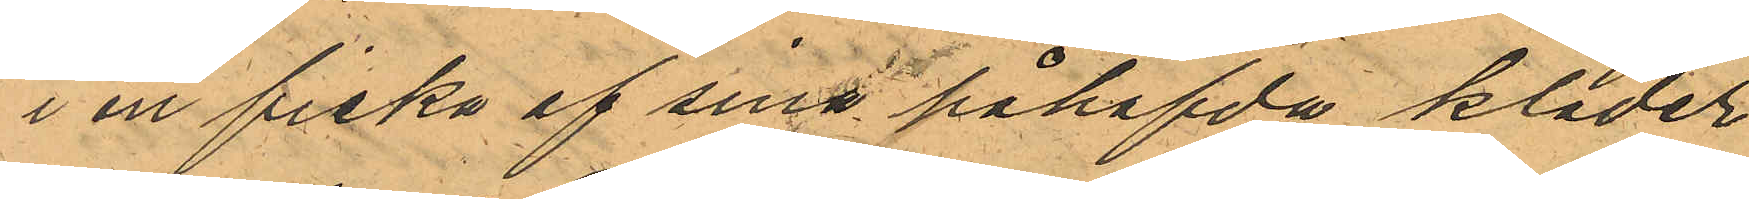i en ficka af sina påhafda kläder
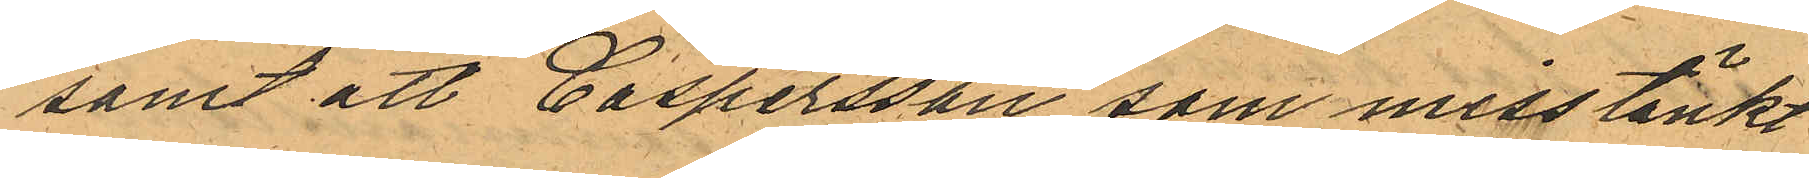samt att Caspersson som misstänkt
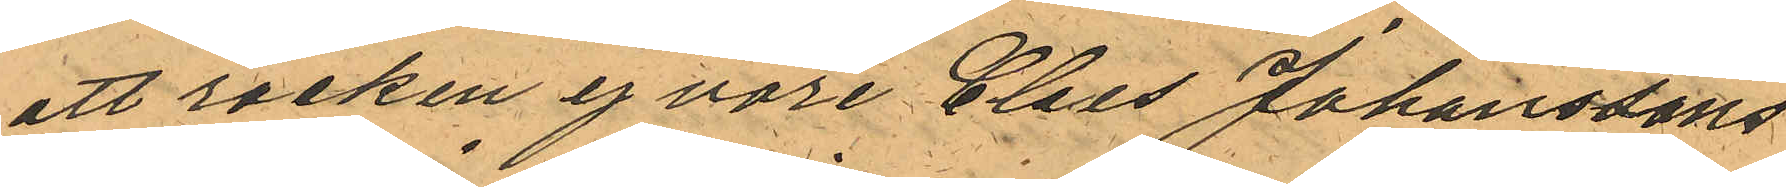att rocken ej vore Claes Johanssons
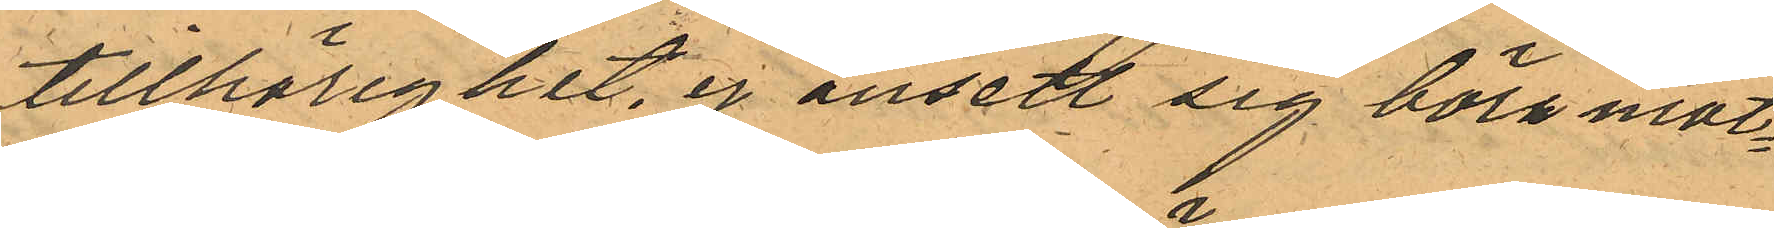tillhörighet, ej ansett sig böra mot¬
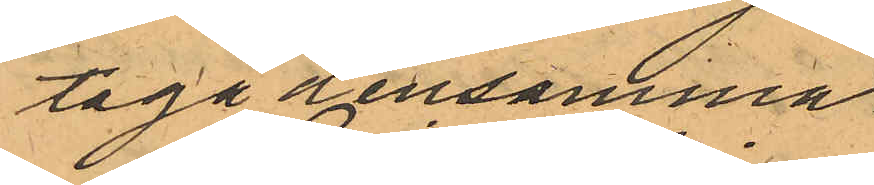taga densamma.
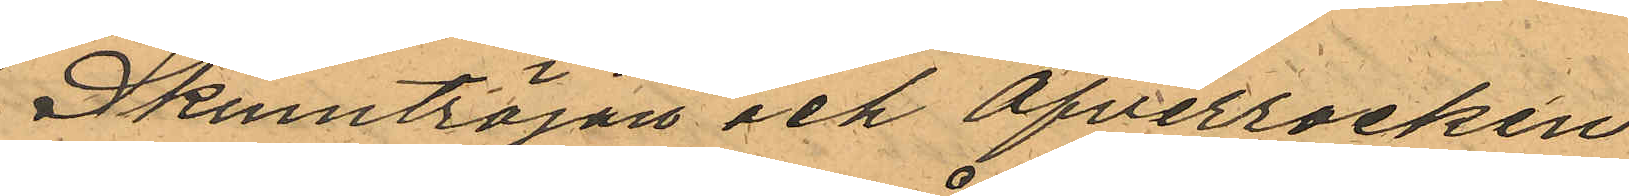Skinntröjan och Öfverrocken
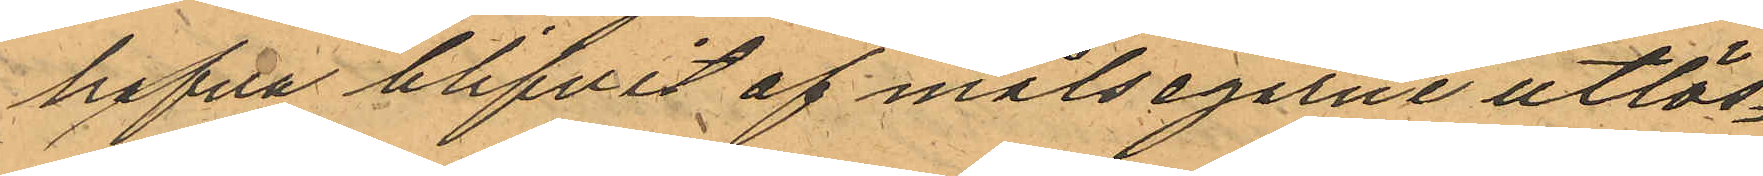hafva blifvit af målsegarne utlös¬
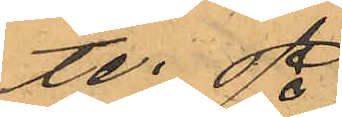te.
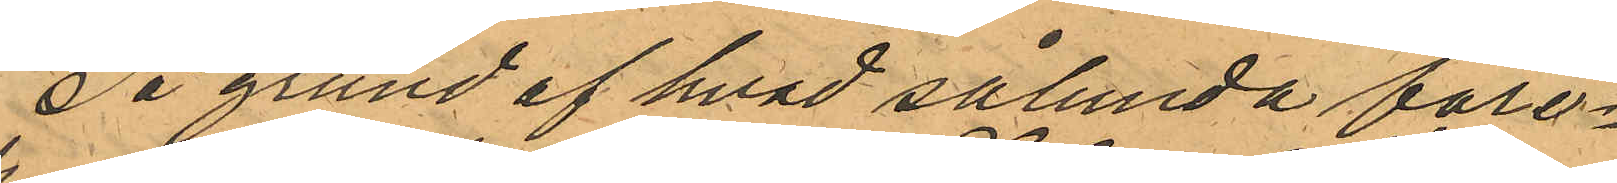På grund af hvad sålunda före¬
